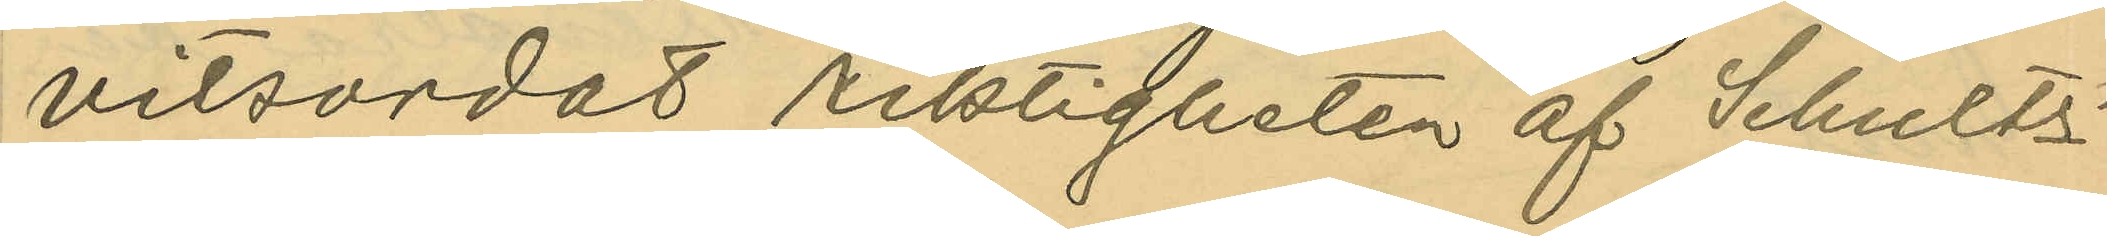vitsordats riktigheten af Schultz´
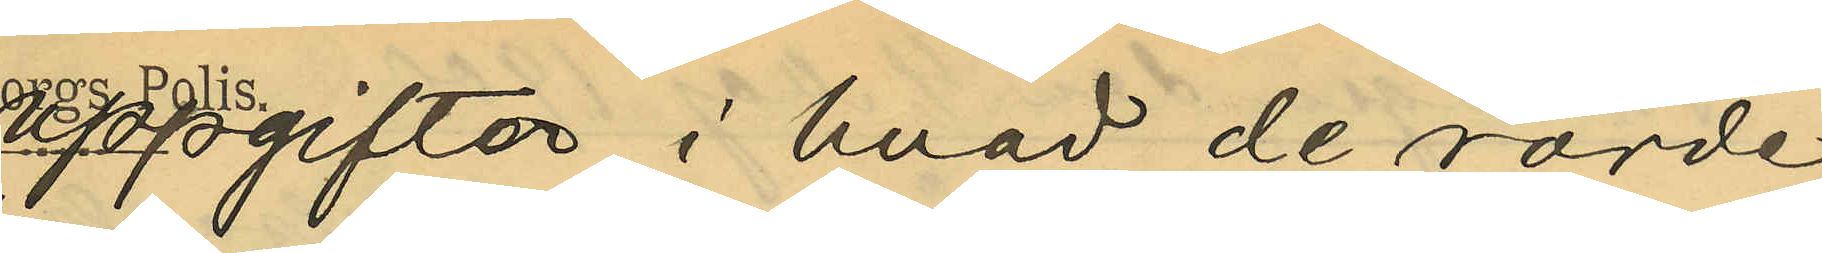uppgifter i hvad de rörde
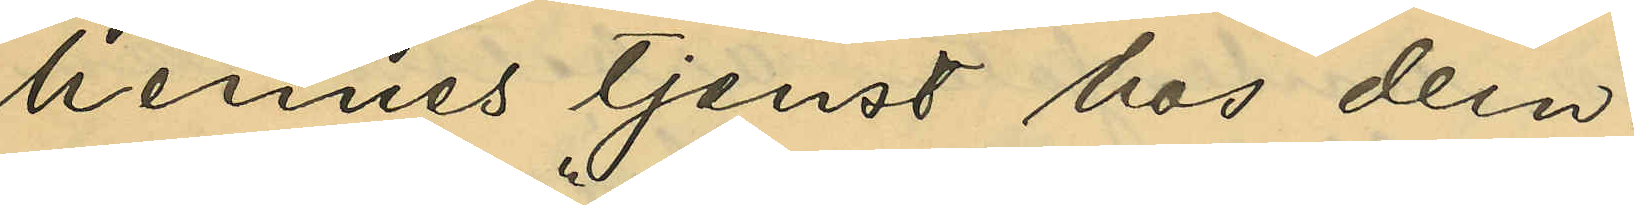hennes tjenst hos dem.
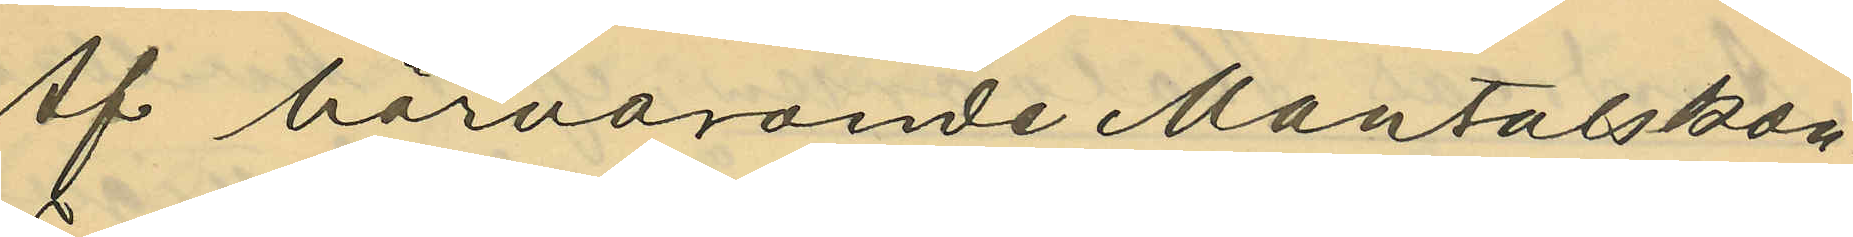Af härvarande Mantalskon¬
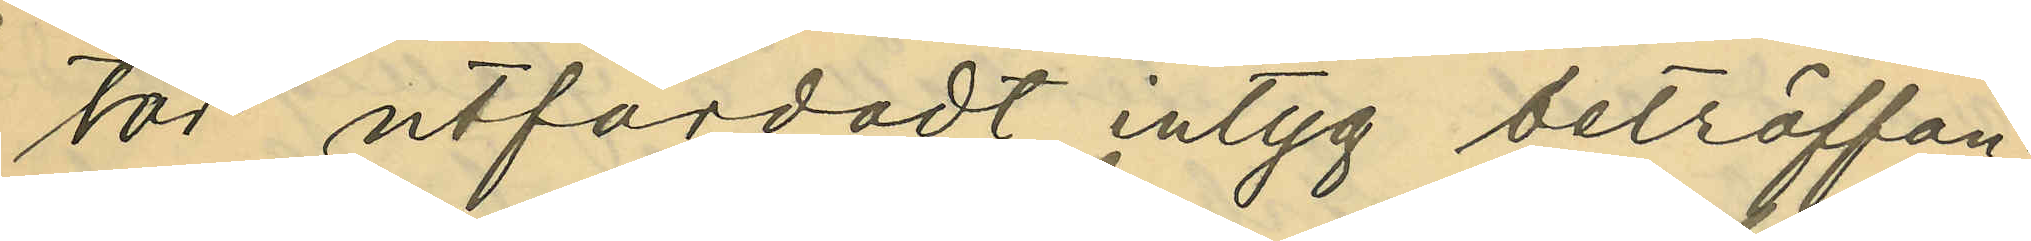tor utfärdadt intyg beträffan¬
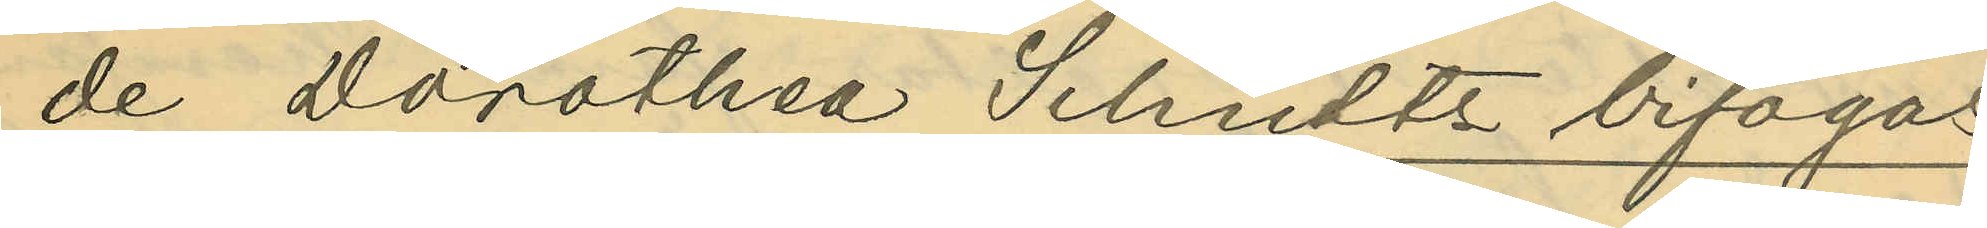de Dorothea Schultz bifogas.
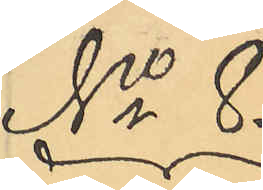No 8.
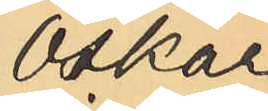Oskar
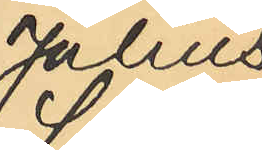Julius
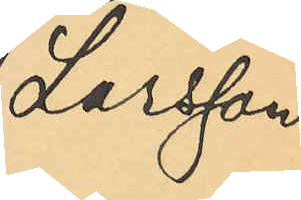Larsson.
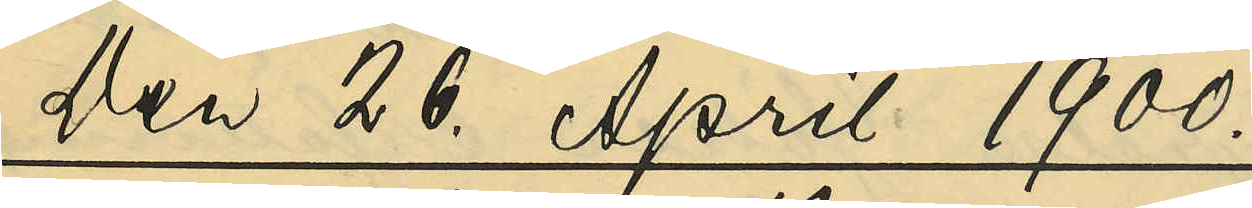Den 26. April 1900.
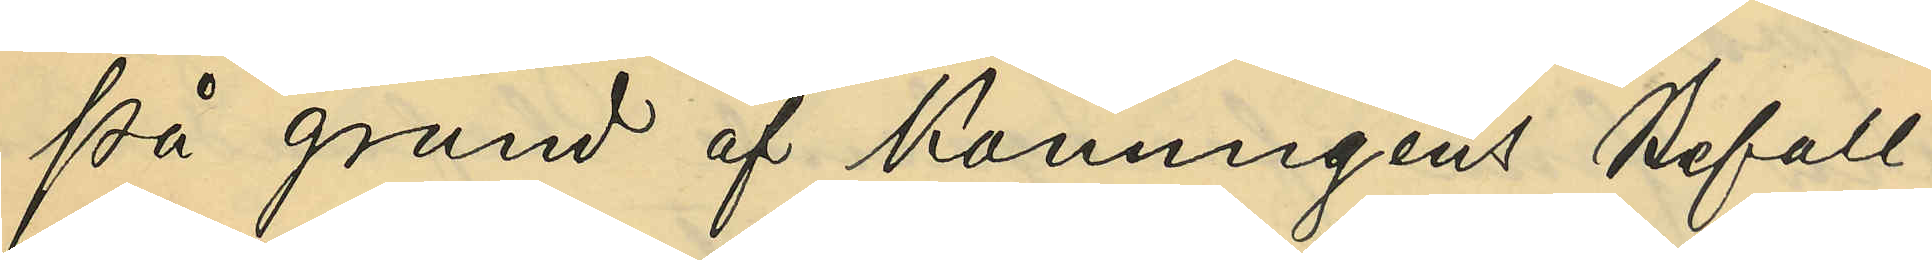På grund af Konungens Befall¬
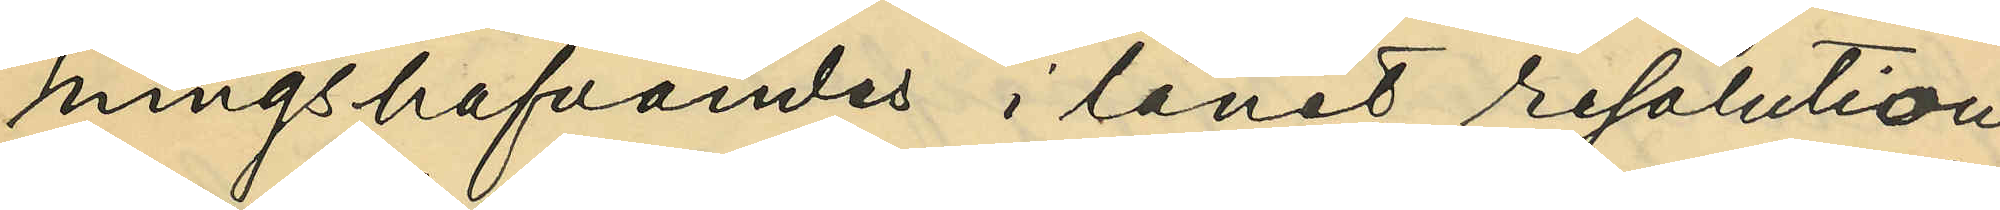ningshafvandes i länet resolution
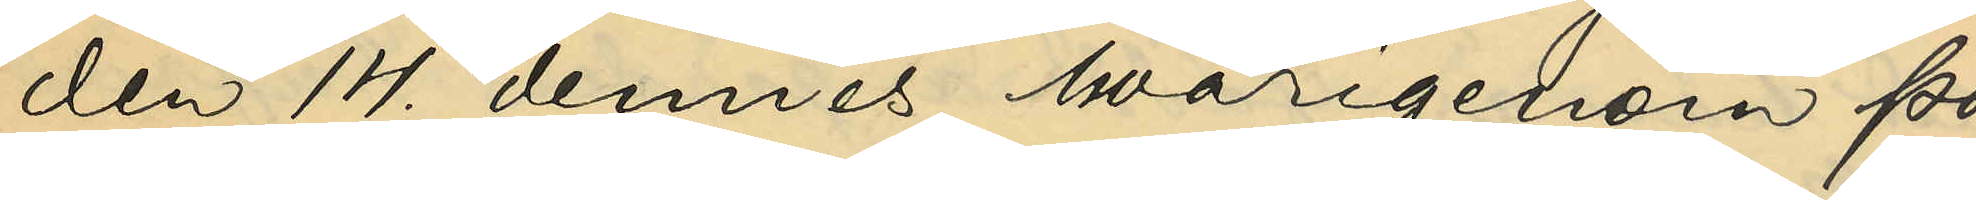den 14. dennes, hvarigenom Po¬
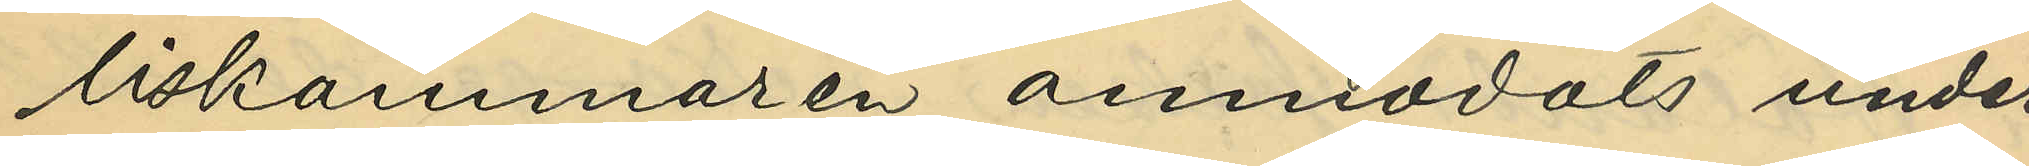liskammaren anmodats under¬
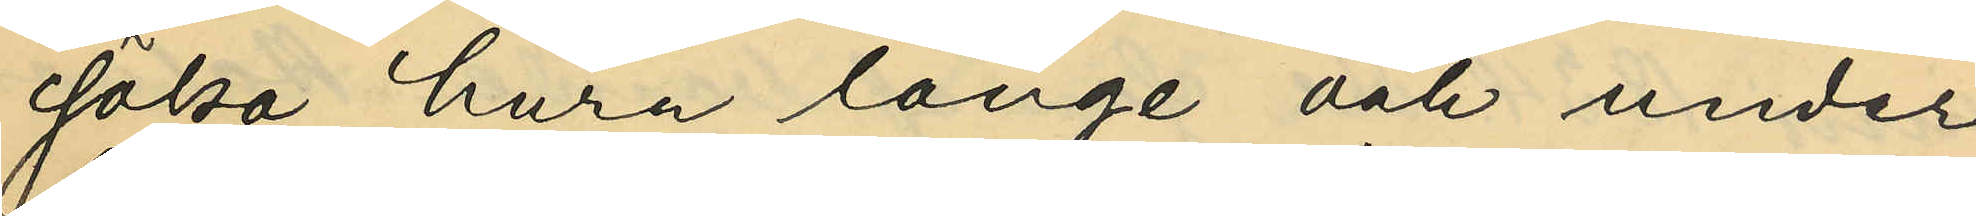söka, huru länge och under
